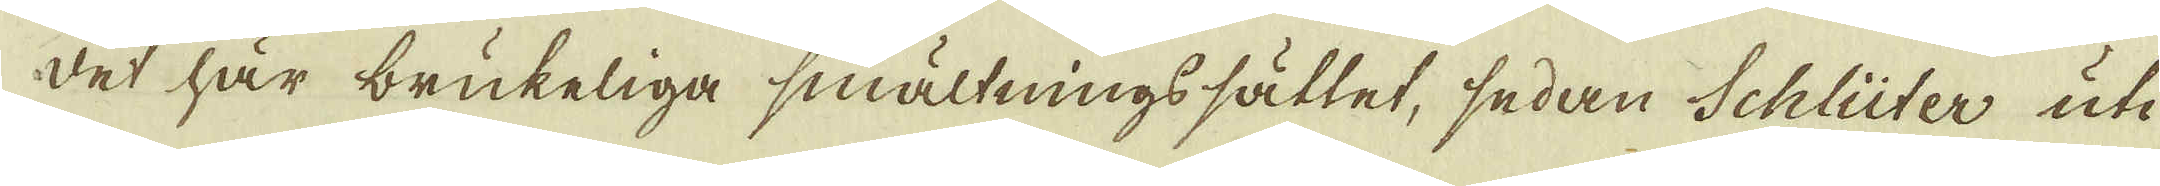det här brukeliga smältningssättet, sedan Schlüter uti
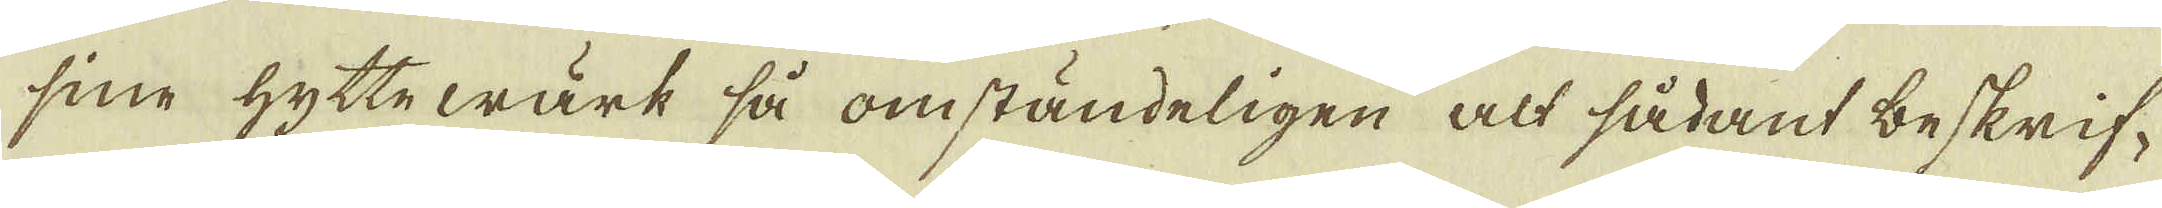sine hyttewärk så omständeligen alt sådant beskrif-
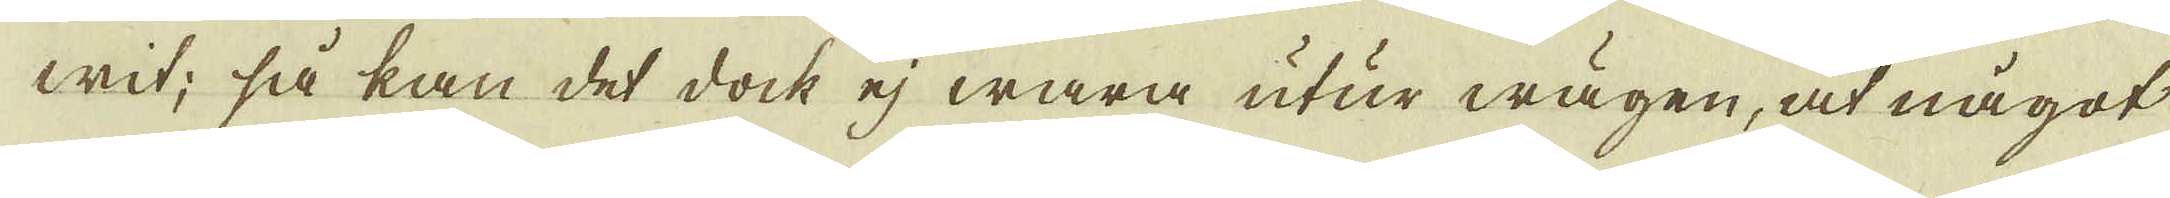wit; så kan det dock ej wara utur wägen, at något
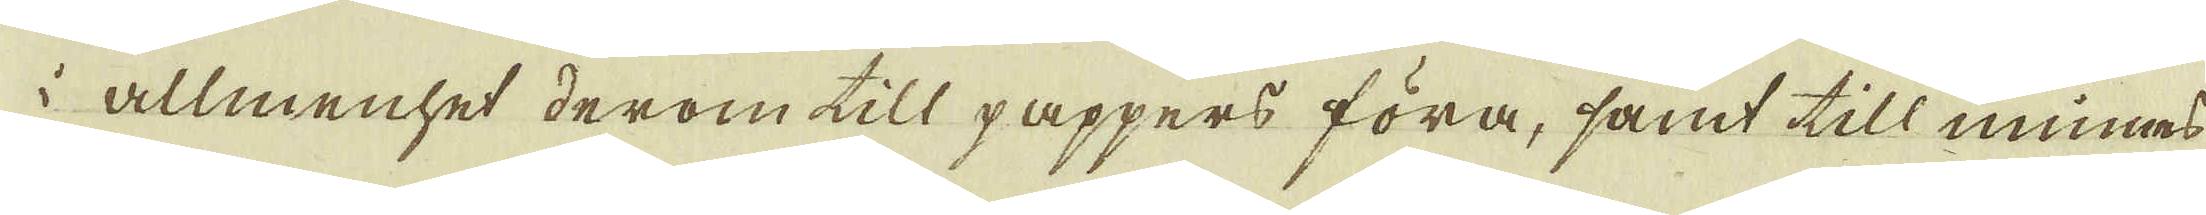i allmenhet derom till pappers föra, samt till minnes-
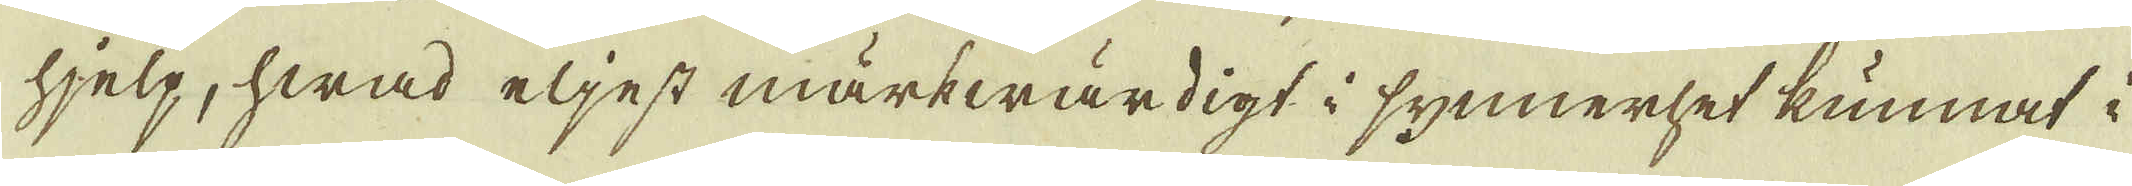hjelp, hwad eljest märkwärdigt i synnerhet kunnat i
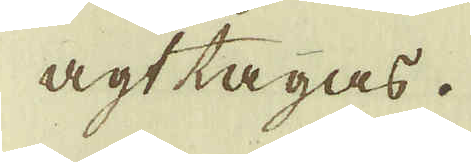agt tagas.
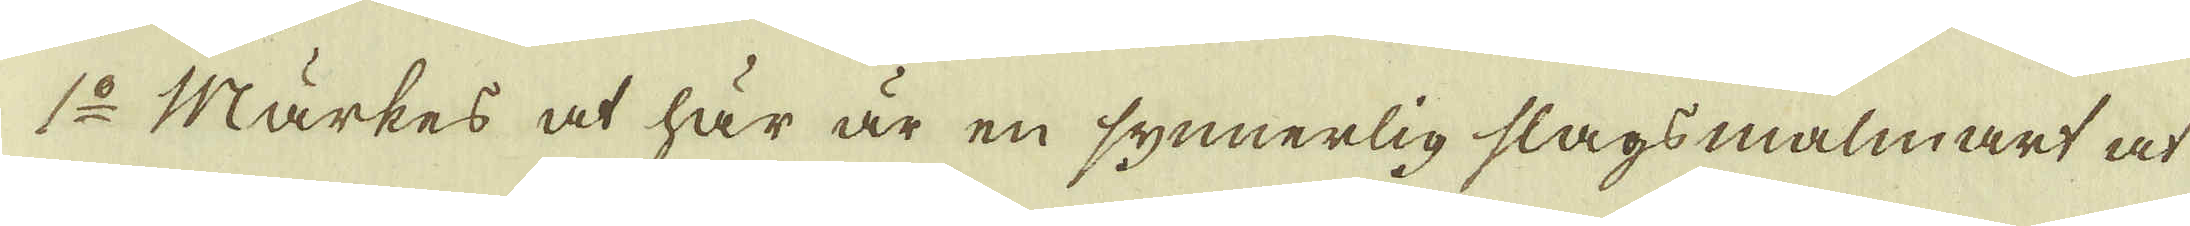1:o Märkes at här är en synnerlig slags malmart at
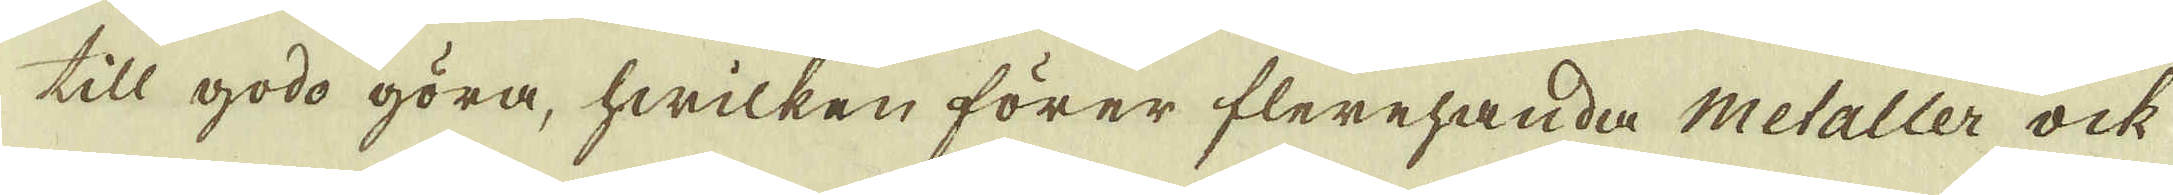till godo göra, hwilken förer flerehanda Metaller ock
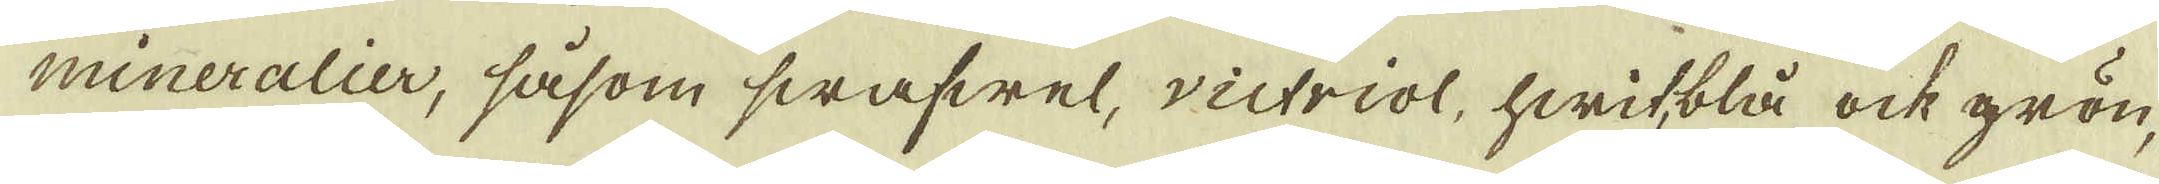mineralier, såsom swafwel, victriol, hwit, blå ock grön,
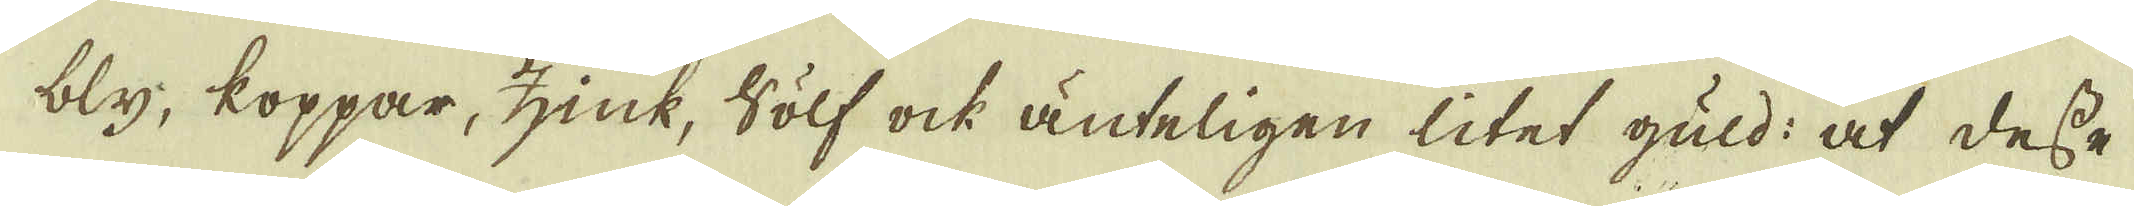bly, koppar, zink, sölf ock änteligen litet guld: at desse
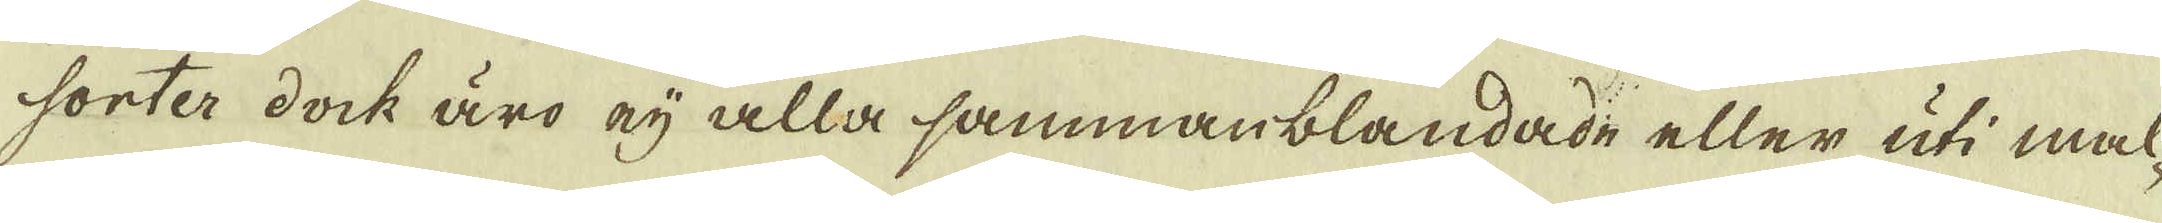sorter dock äro eij alla sammanblandade eller uti mal-
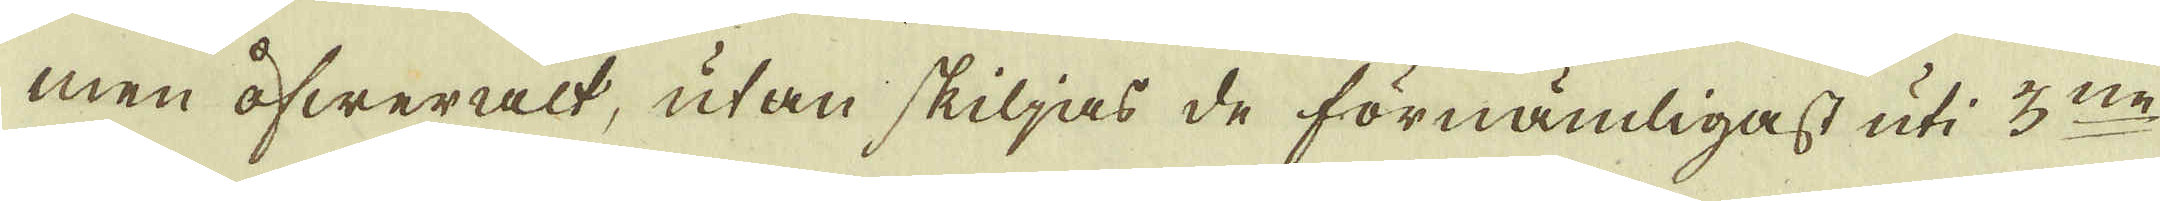men öfweralt, utan skiljas de förnämligast uti 3:ne
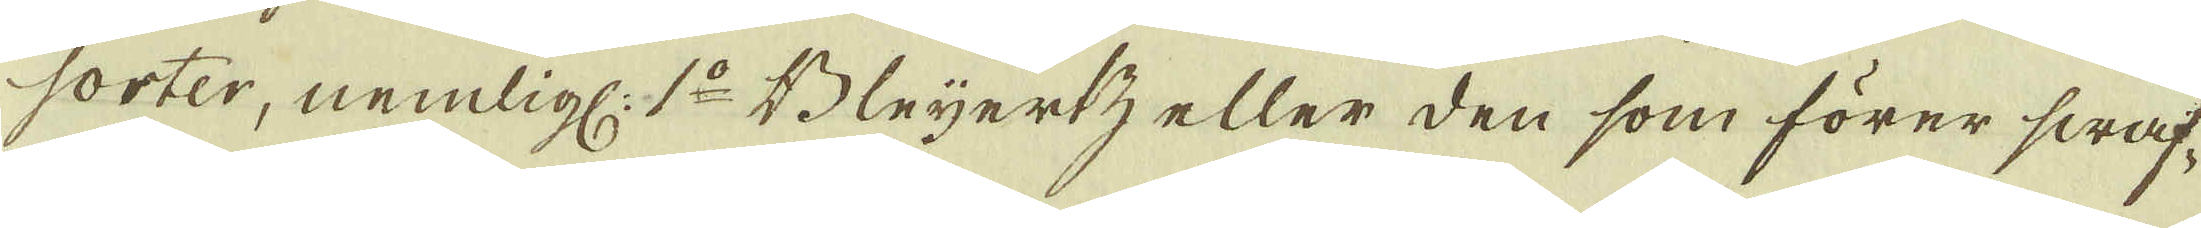sorter, nemlig: 1:o Bleyertz eller den som förer swaf-
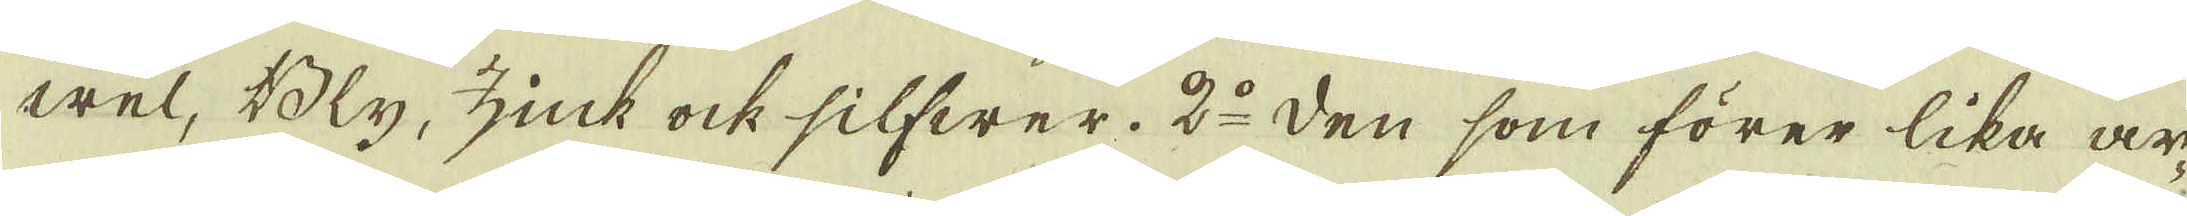wel, Bly, zink ock silfwer. 2:o den som förer lika ar-
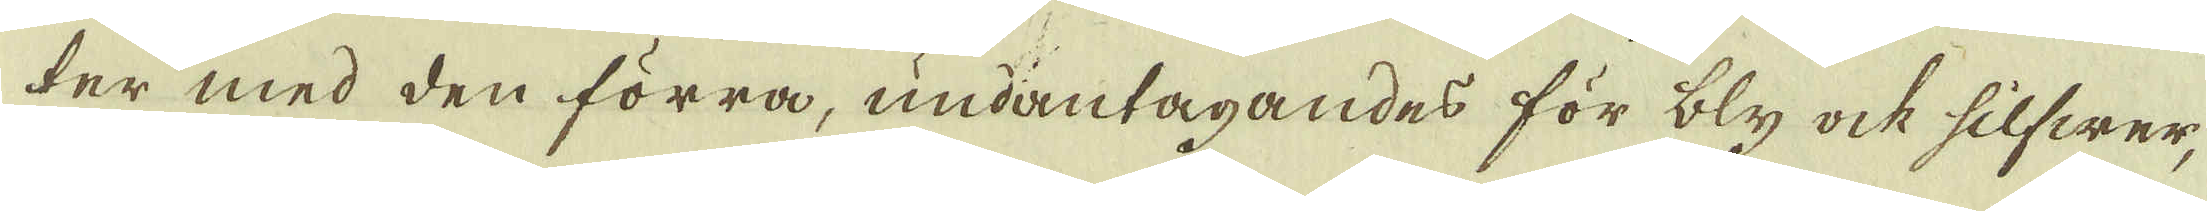ter med den förra, undantagandes för bly ock silfwer,
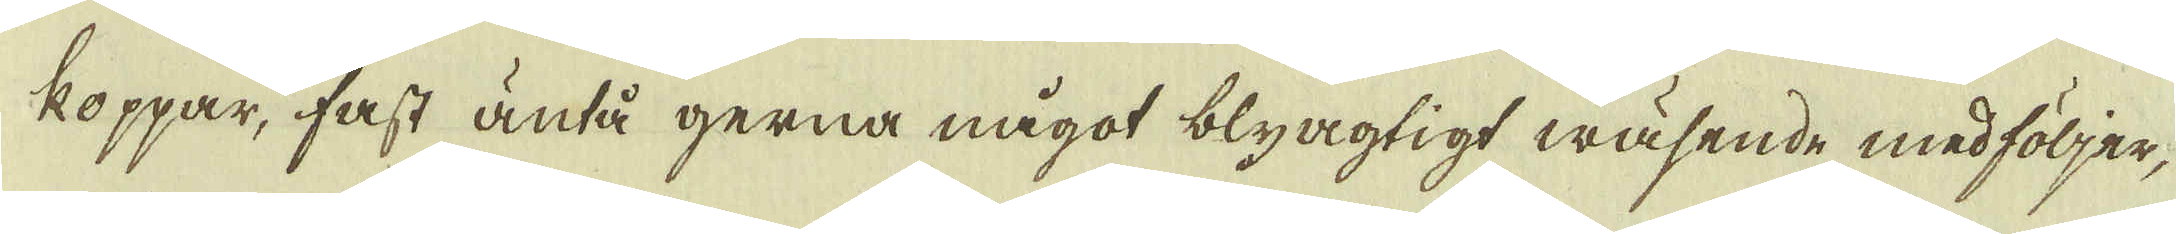koppar, fast äntå gerna något blyagtigt wäsende medföljer,
